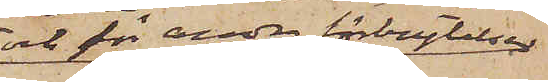och för andra förbrytelser
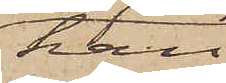han
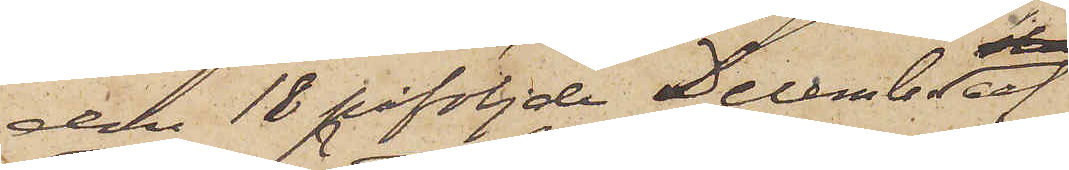den 18 påföljde December af
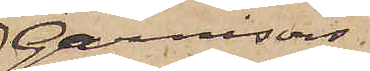Garnisons¬
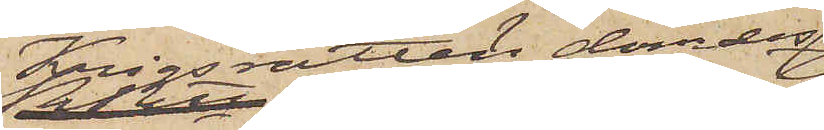Krigsrätten dömdes
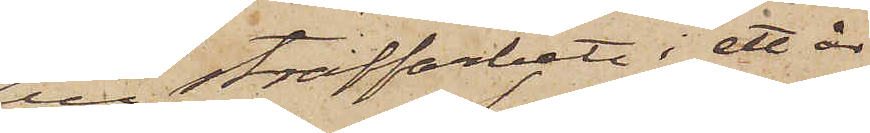till straffarbete i ett år
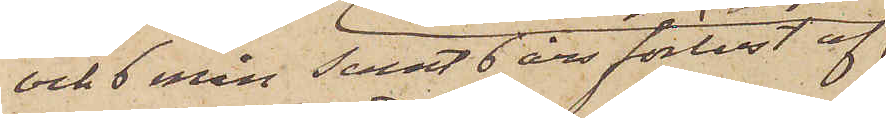och 6 mån Samt 6 års förlust af
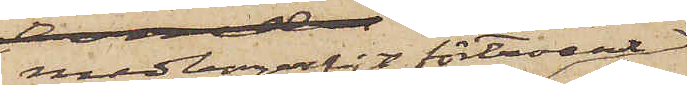medborgerligt förtroende
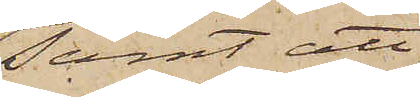samt att
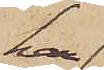han
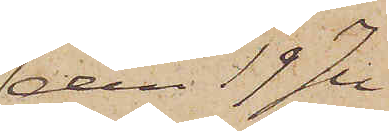den 19 Ju¬
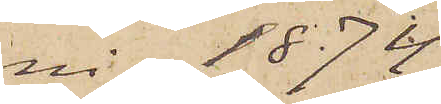ni 1874
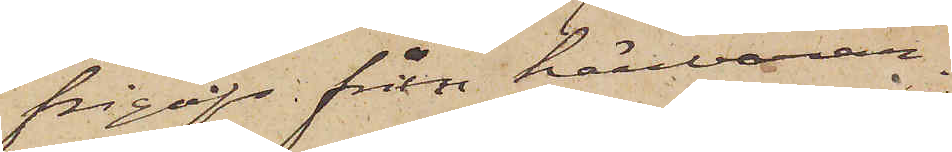frigavs från härvaran¬
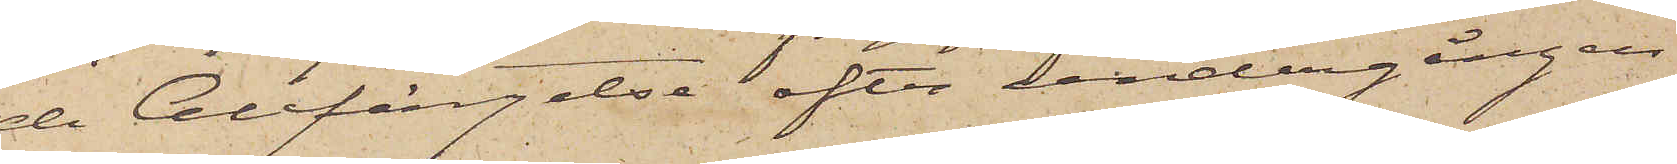de Cellfängelse efter undergången
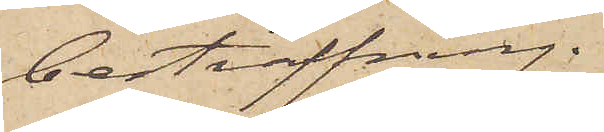bestraffning.
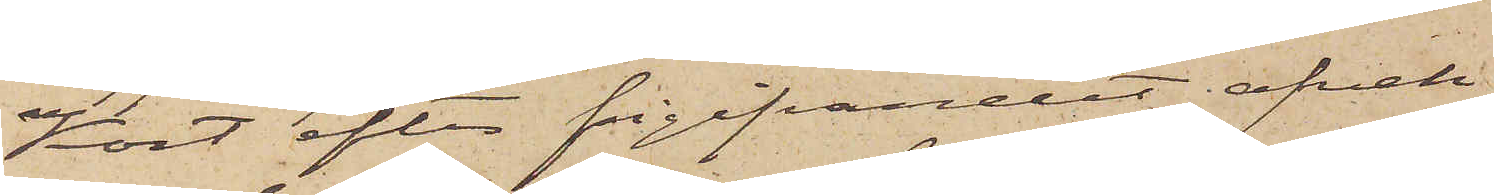Kort efter frigifvandet afvek
